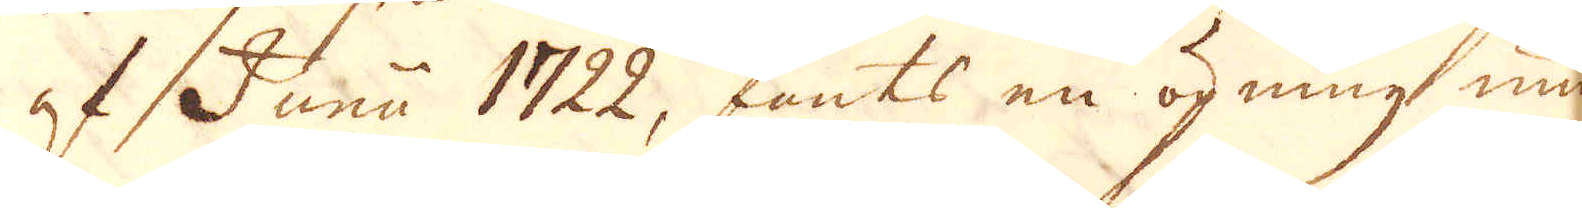af Junii 1722, fants en öpning under
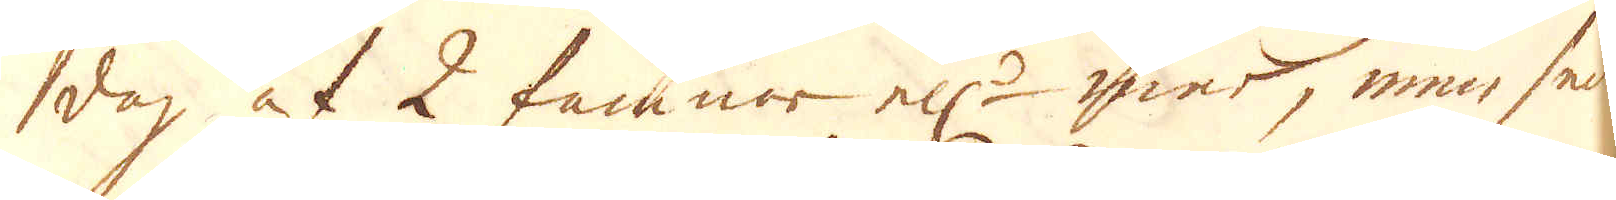dag af 2 famnar ell:r mer, men seder-
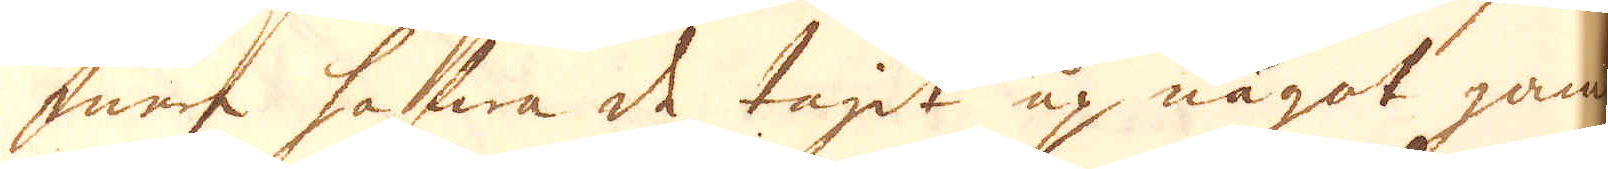mera hafwa de tagit up något gam-
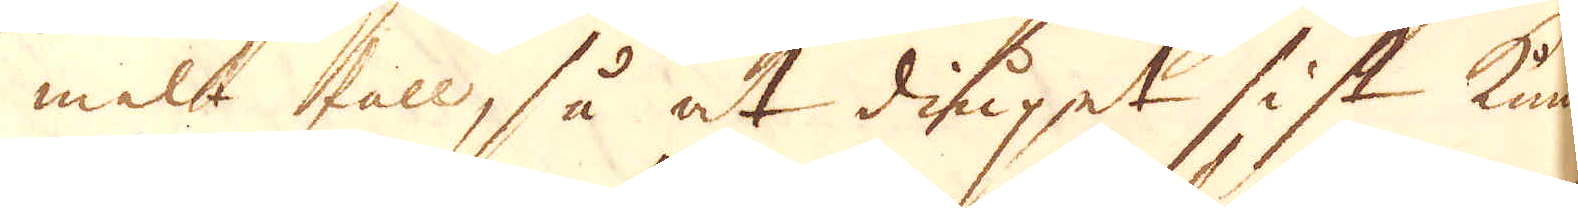melt fall, så at diupet sist kunde
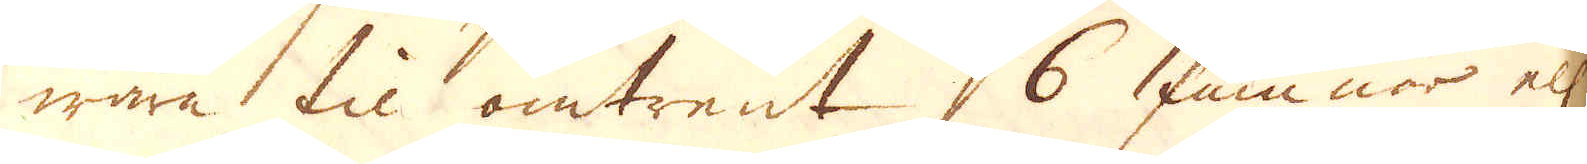wara til omtrent 6 famnar ell:r
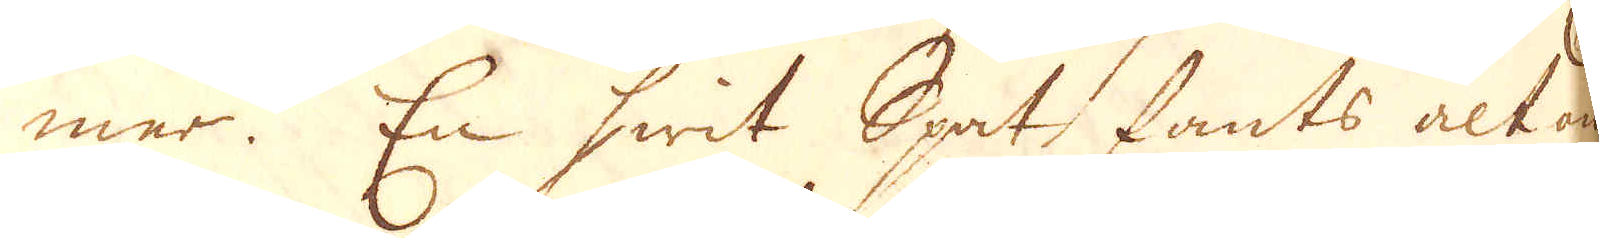mer. En hwit Spat fants alt om-
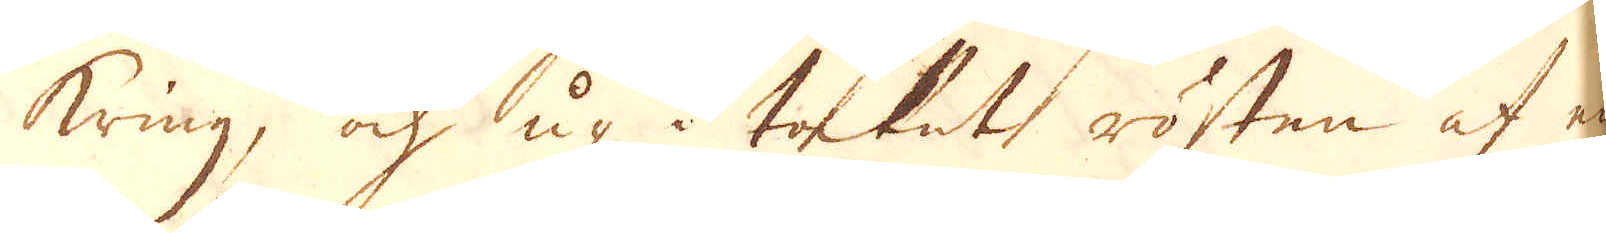kring, och up i taket rösten af en
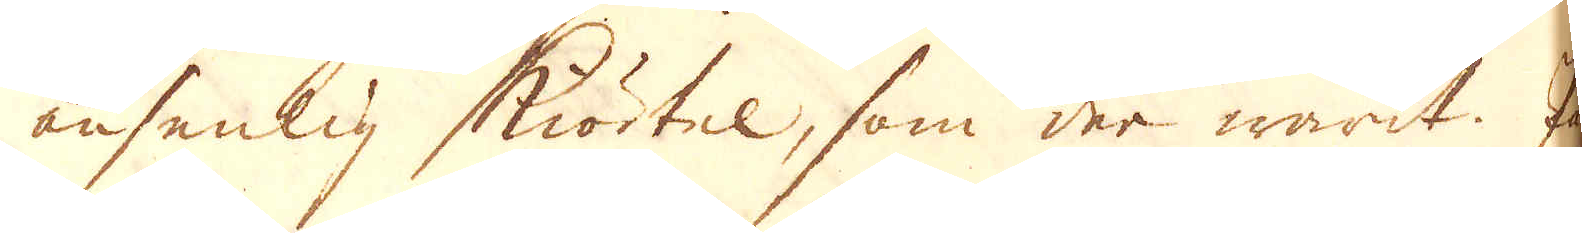ansenlig kiörtel, som der warit. På
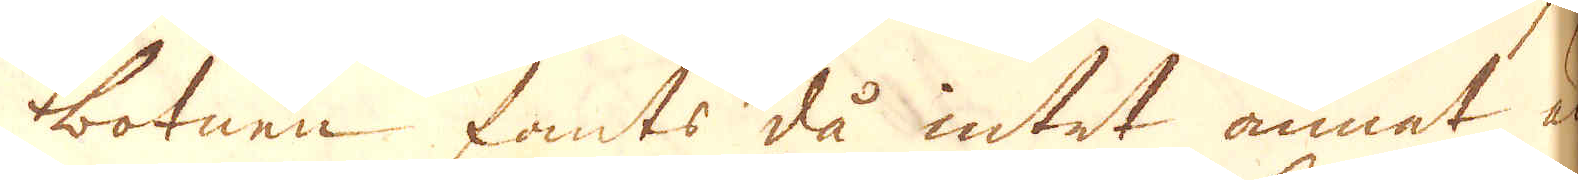botnen fants då intet annet än
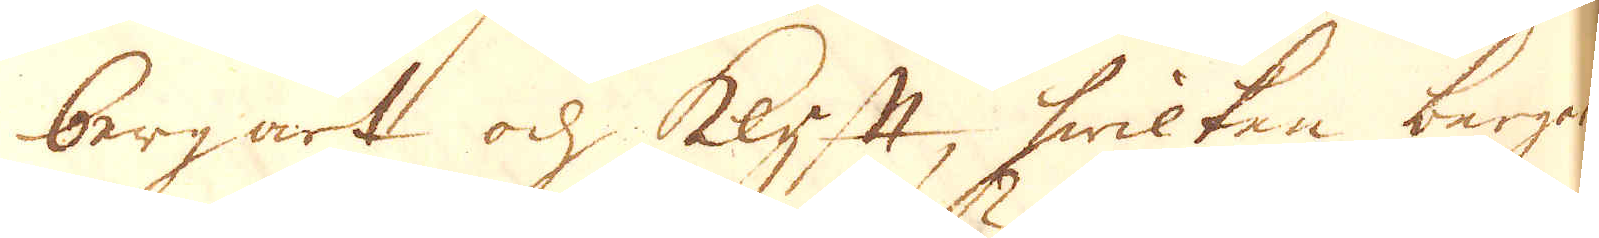bergart och klyft, hwilken bergart
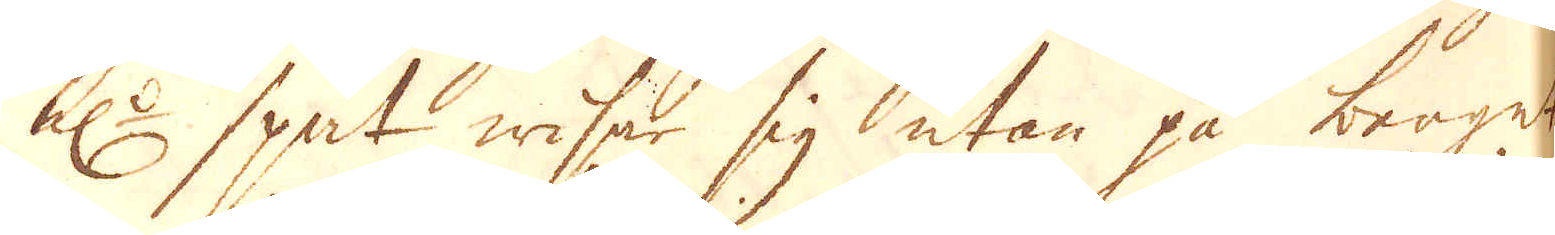el:r spat wiser sig utan på berget
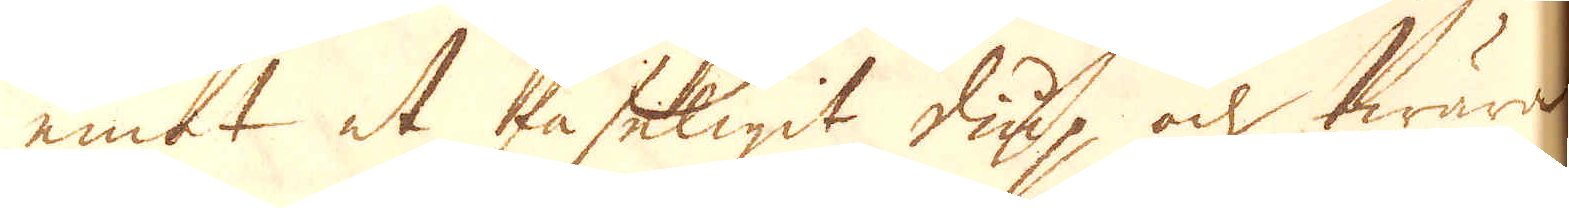emot et faseligit diup, och twära
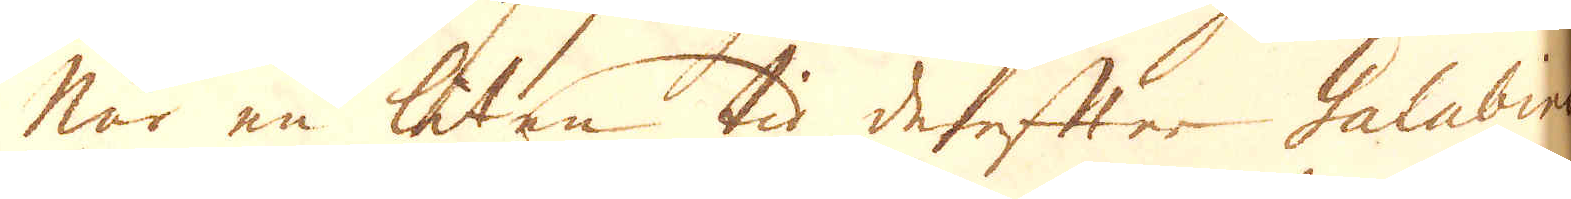När en liten tid derefter Galabins
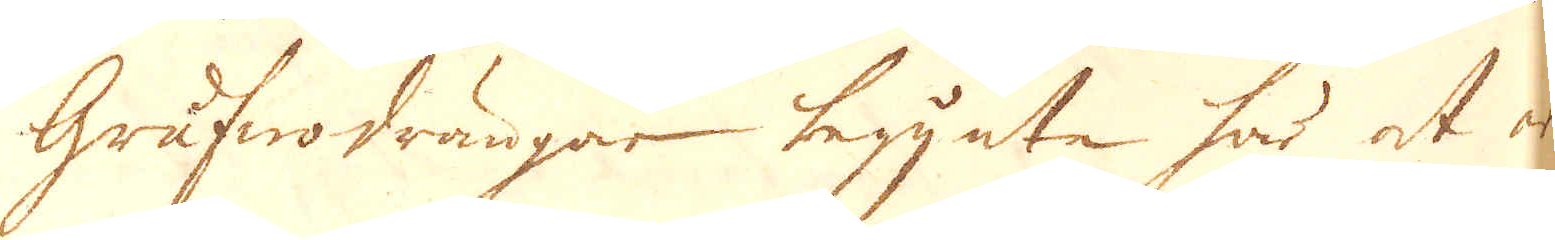Grufwodrängar begynte här at ar-
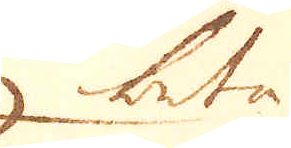beta
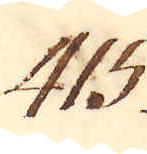415.
